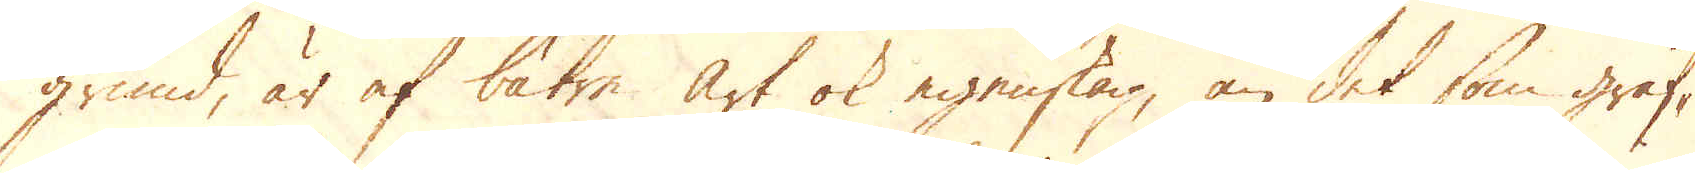grund, är af bätre art ok egenskap, än det som gräf-
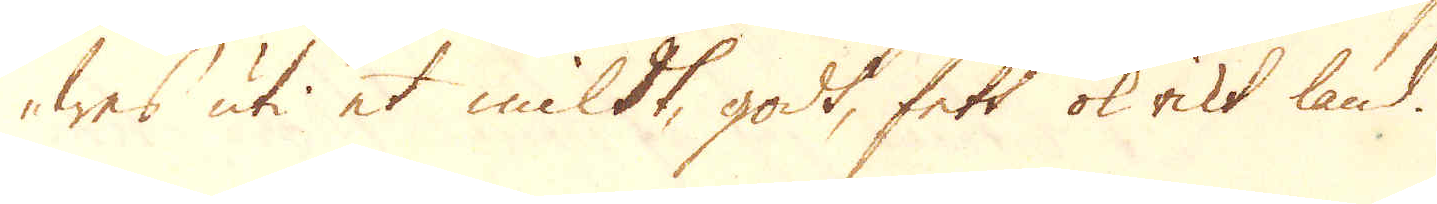wes uti et mildt, godt, fett ok rikt land.
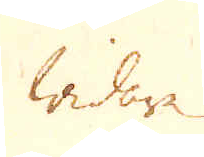Widare
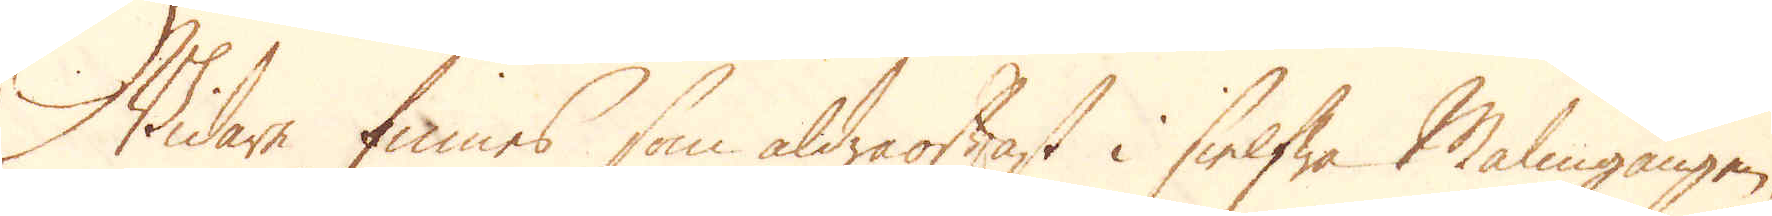Widare finnes som aldraoftast i sielfwa Malmgången,
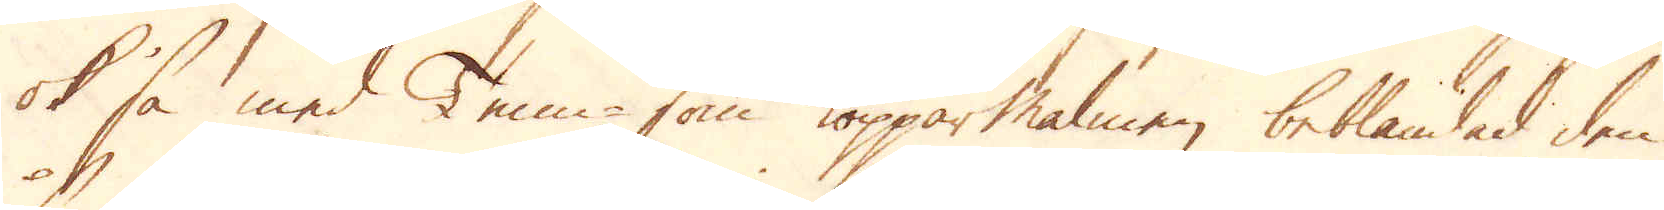ok så med Tenn- som Kopparmalmen beblandad den
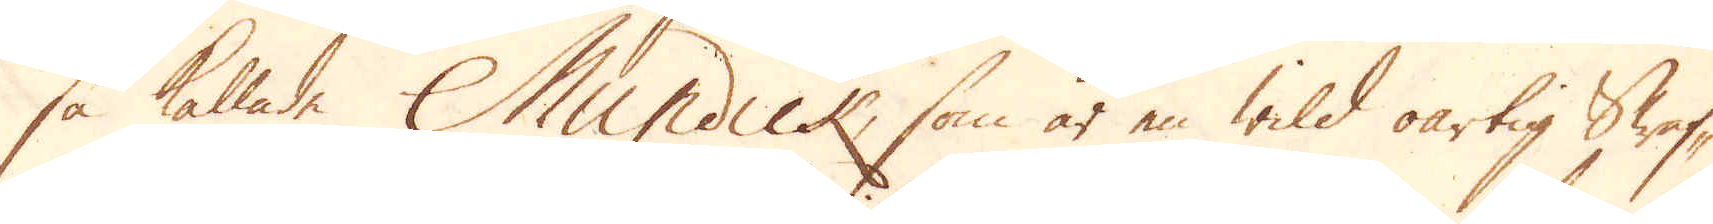så kallade Mundick, som är en wild oartig Swaf-
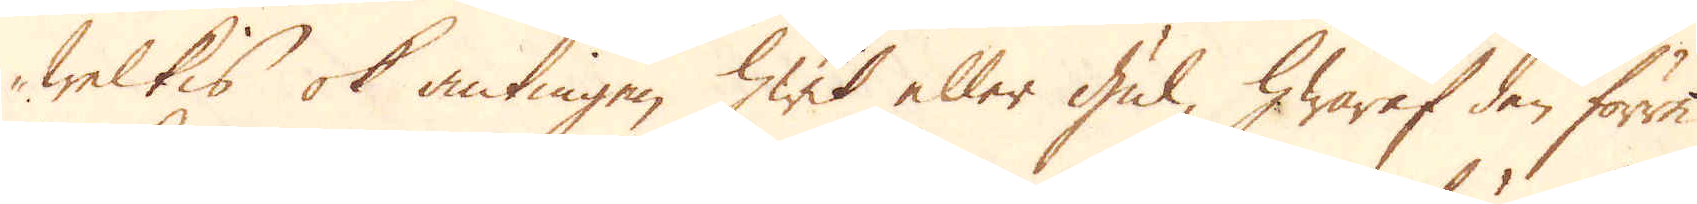welkis ok antingen hwit eller gul, hwaraf den förre
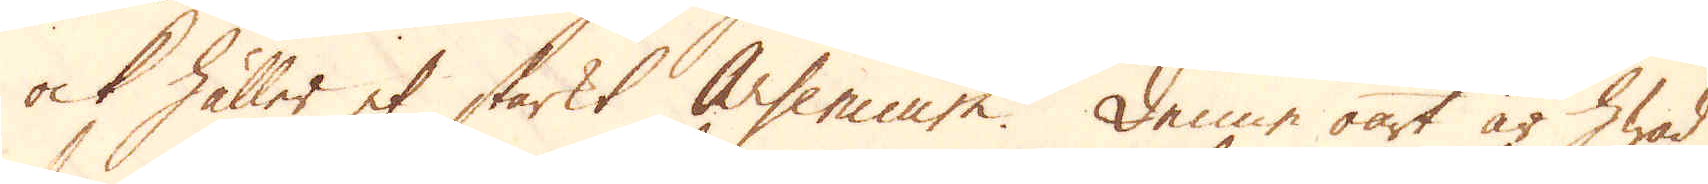ock håller et starkt Arsenicum. Denne oart är hwad
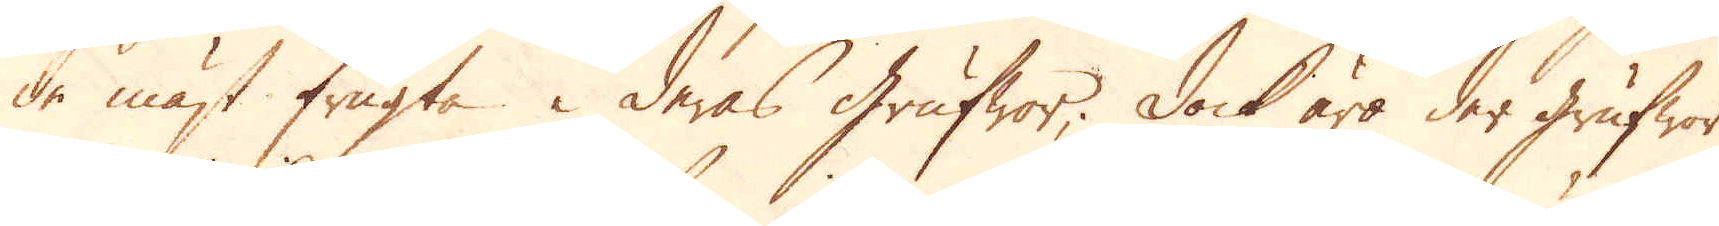de mäst frugta i deras grufwor; Dock äro der grufwor
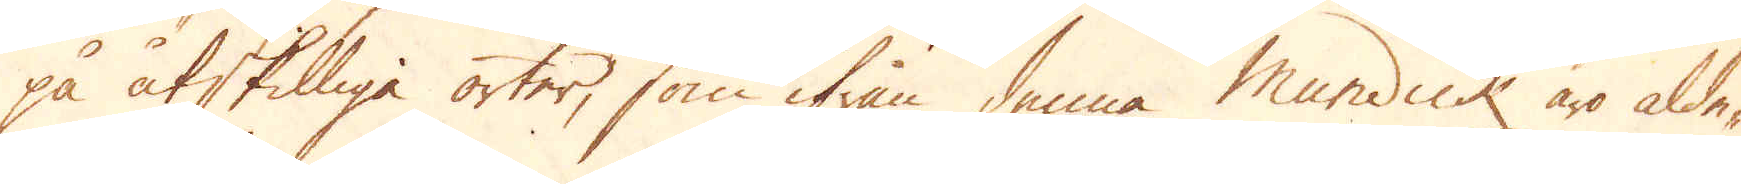på åtskilliga orter, som ifrån denna Mundick äro alde-
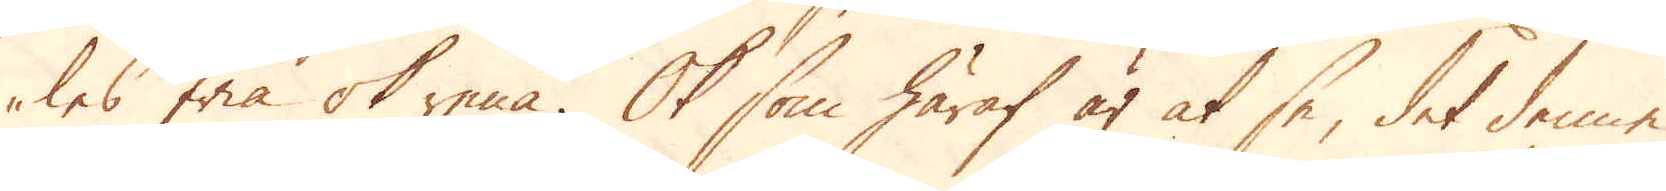les fria ok rena. Ok som häraf är at se, det denne
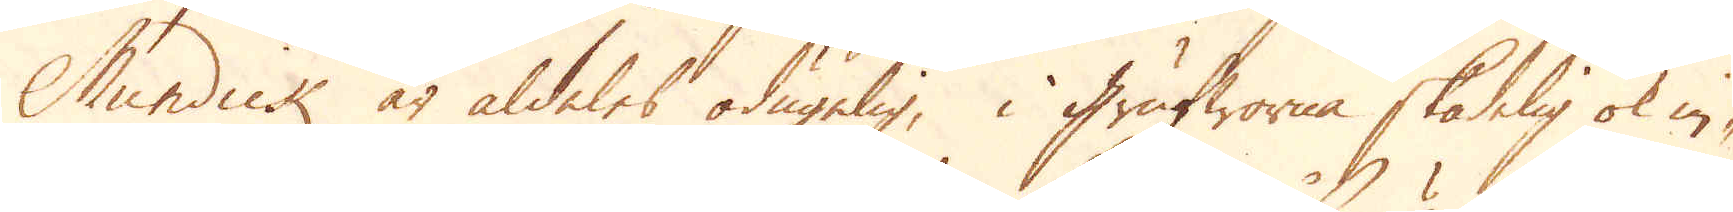Mundick är aldeles odugelig, i Grufworna skadelig ok in-
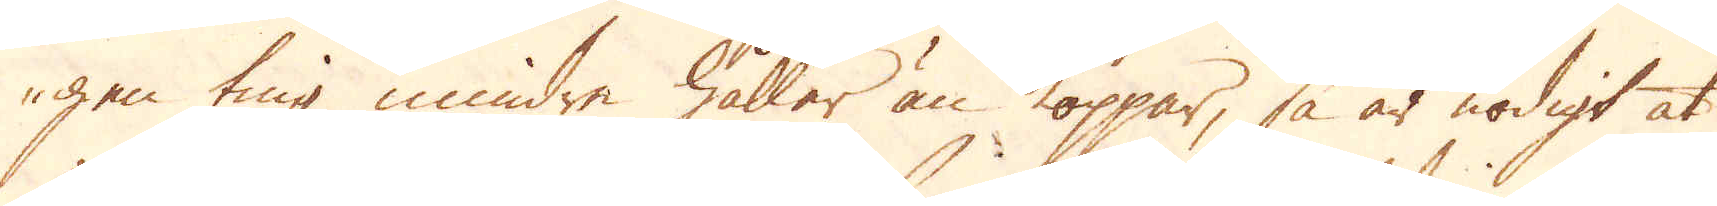gen ting mindre håller än koppar, så är nödigt at
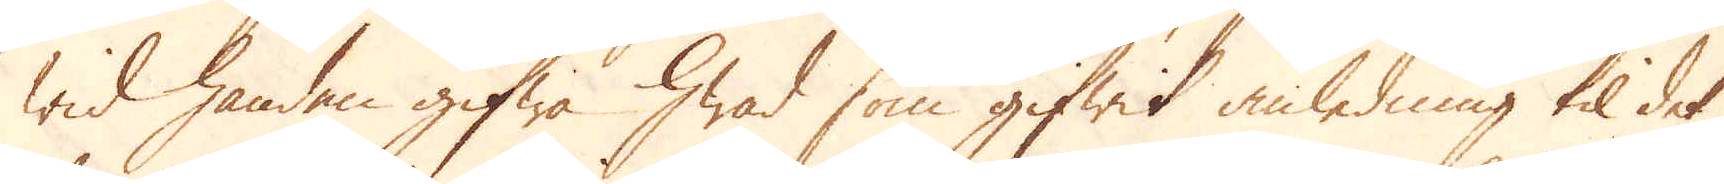wid handen gifwa hwad som gifwit anledning til det
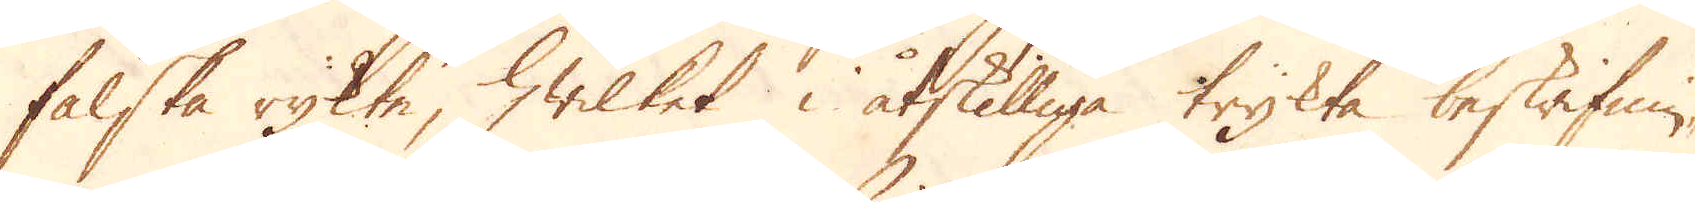falska rykte, hwilket i åtskilliga trykta beskrifnin-
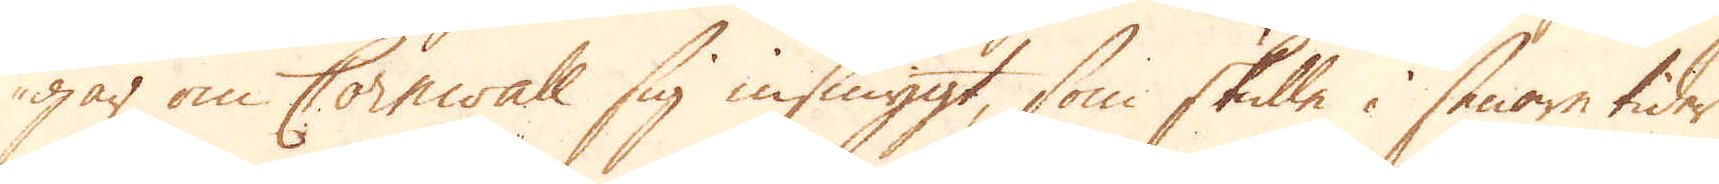gar om Cornwall sig insmygt, som skulle i senare tider
